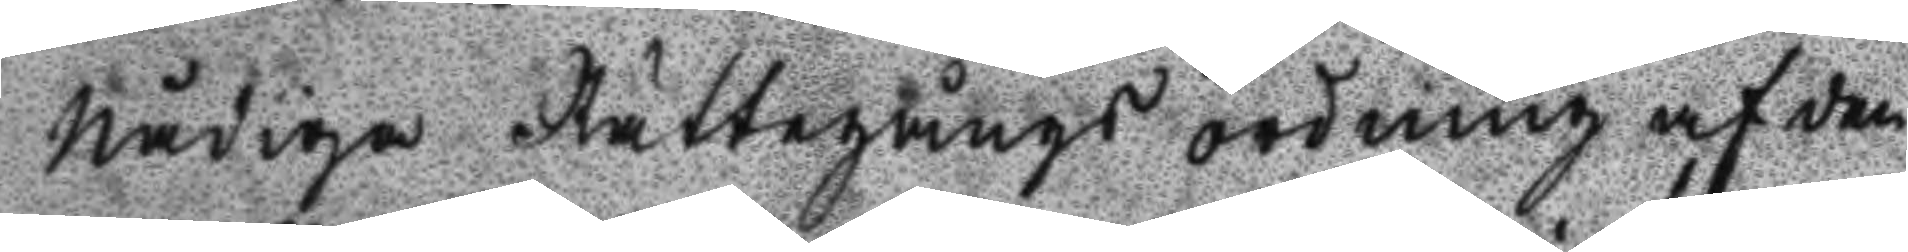Nådiga Rättegångs ordning af den
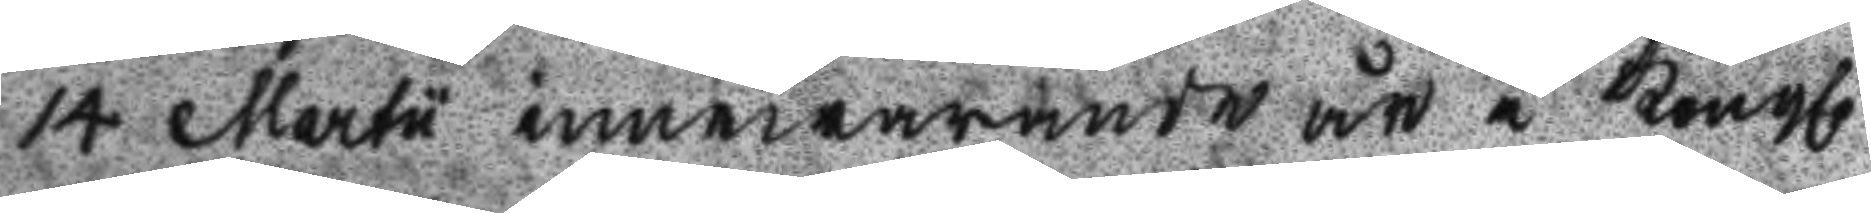14 Martu innewarande år i Kongl.
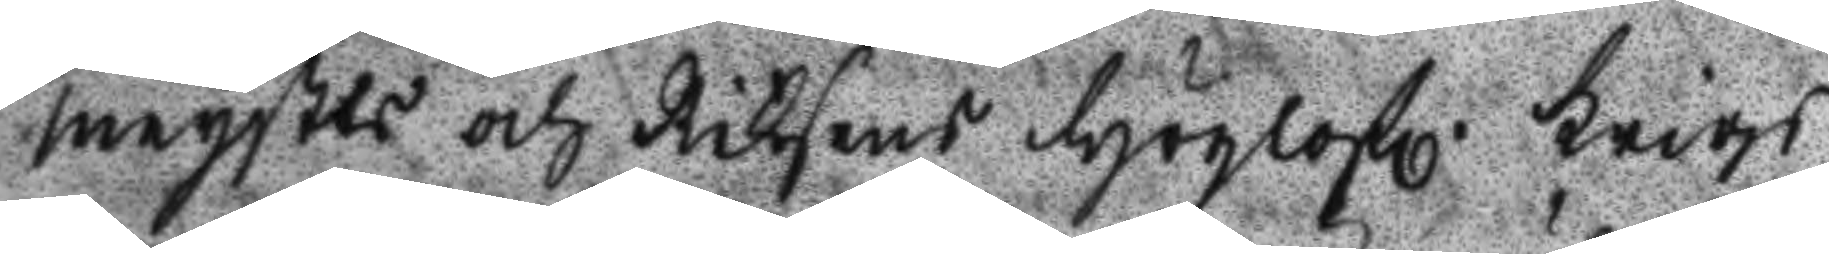maystts och Riksens Höglofl. Krigs
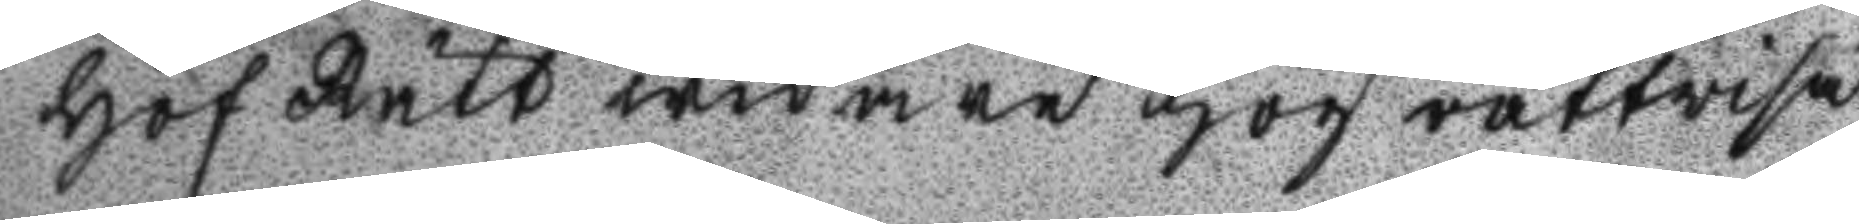Hof Rätt widare högrättwisa
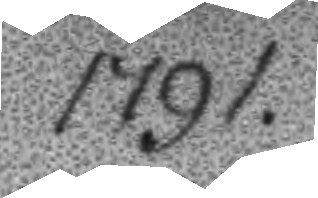1791.
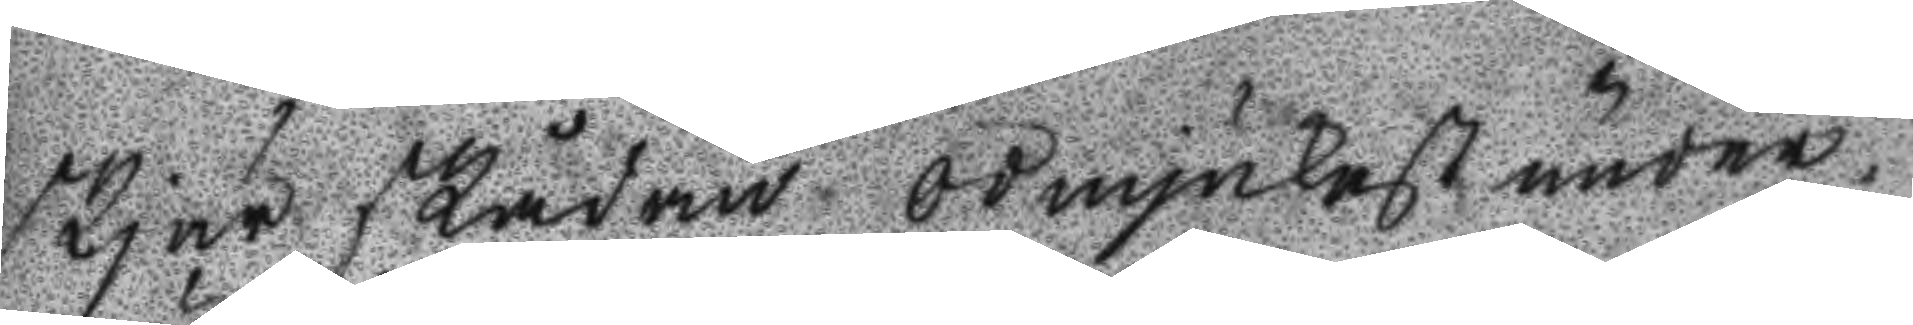skjär skådan ödmjukast under¬
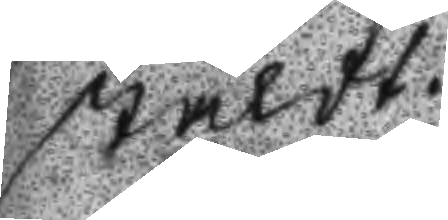stäldt.
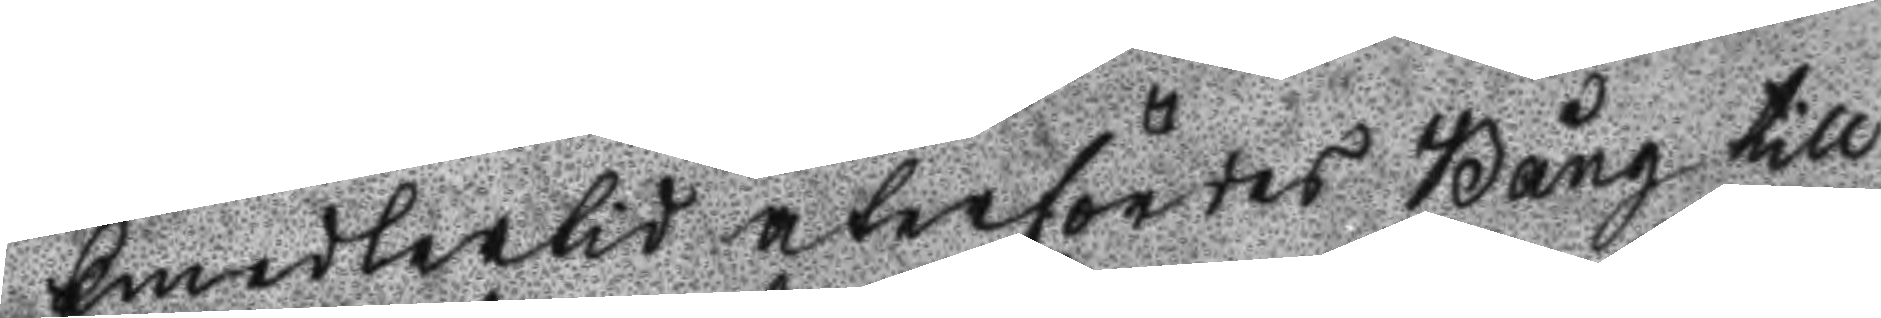Emedlertid återföres Bång till
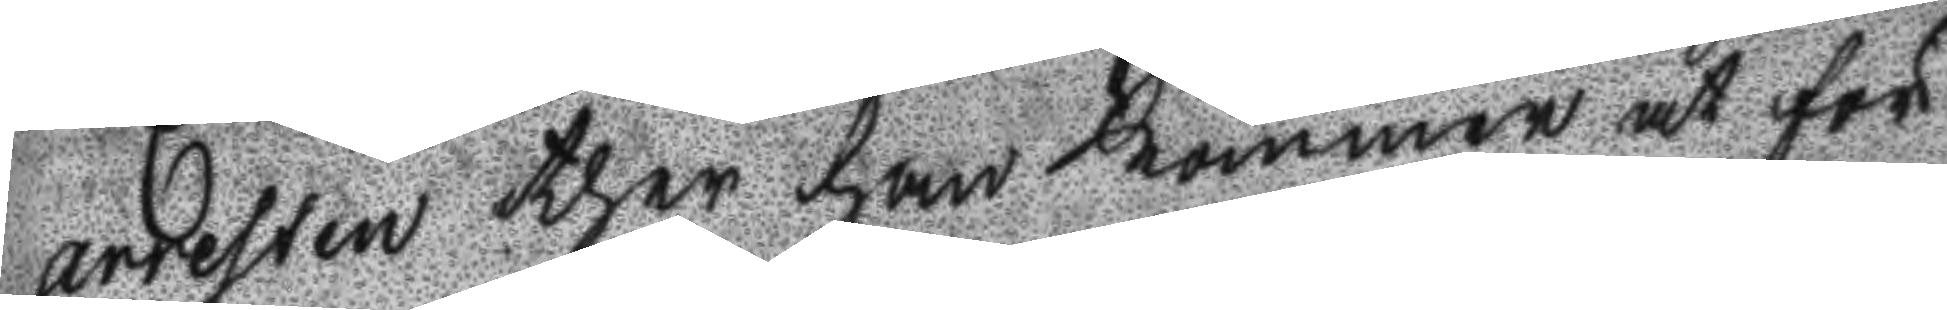arresten ther han kommer at för
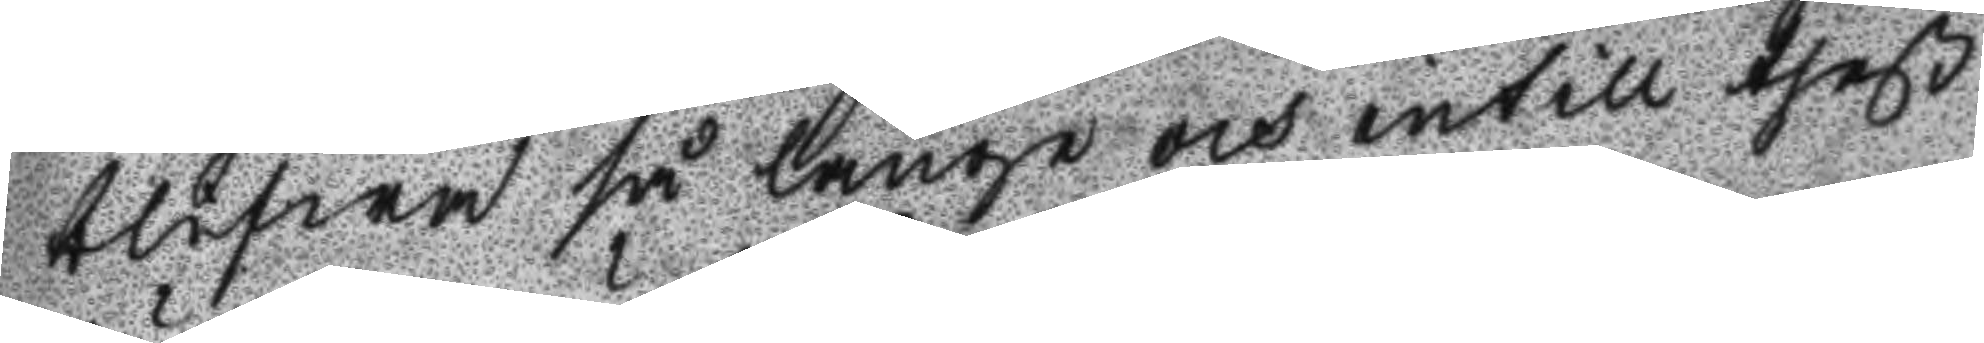blifwa så länge och intill theß
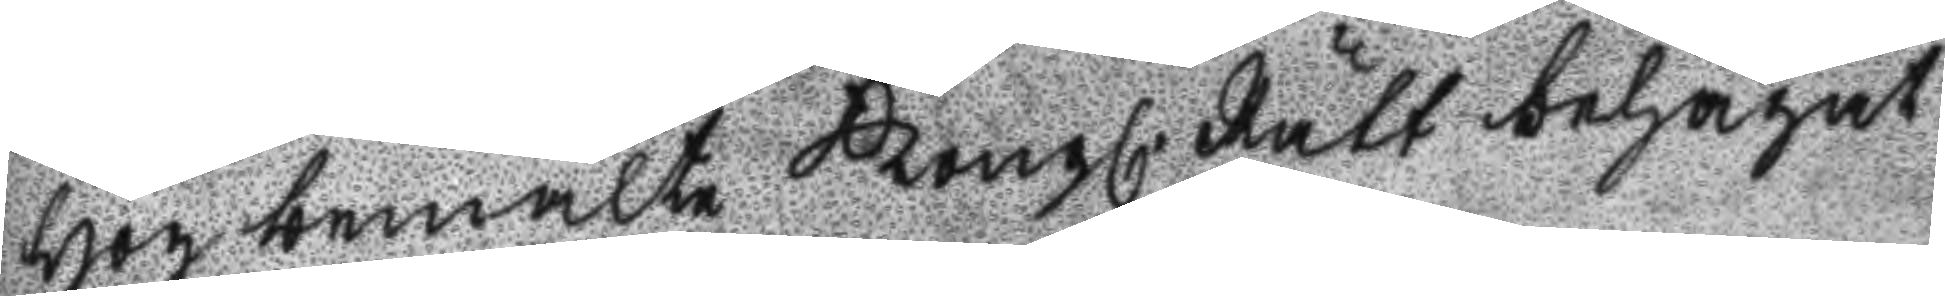Högbemälte Kongl. Rätt behagat
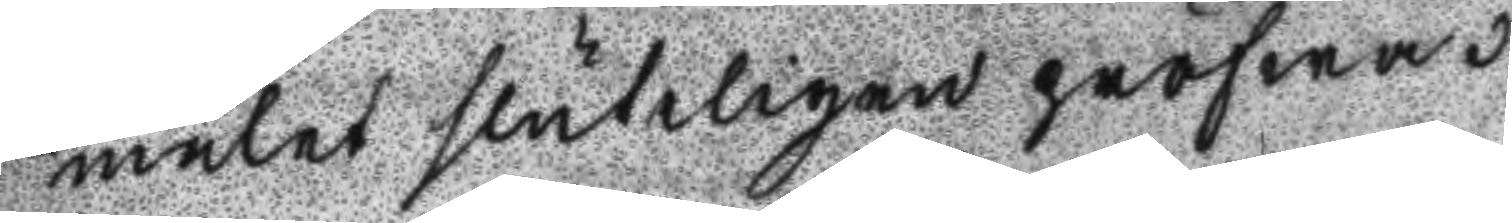målet sluteligen pröfwa.
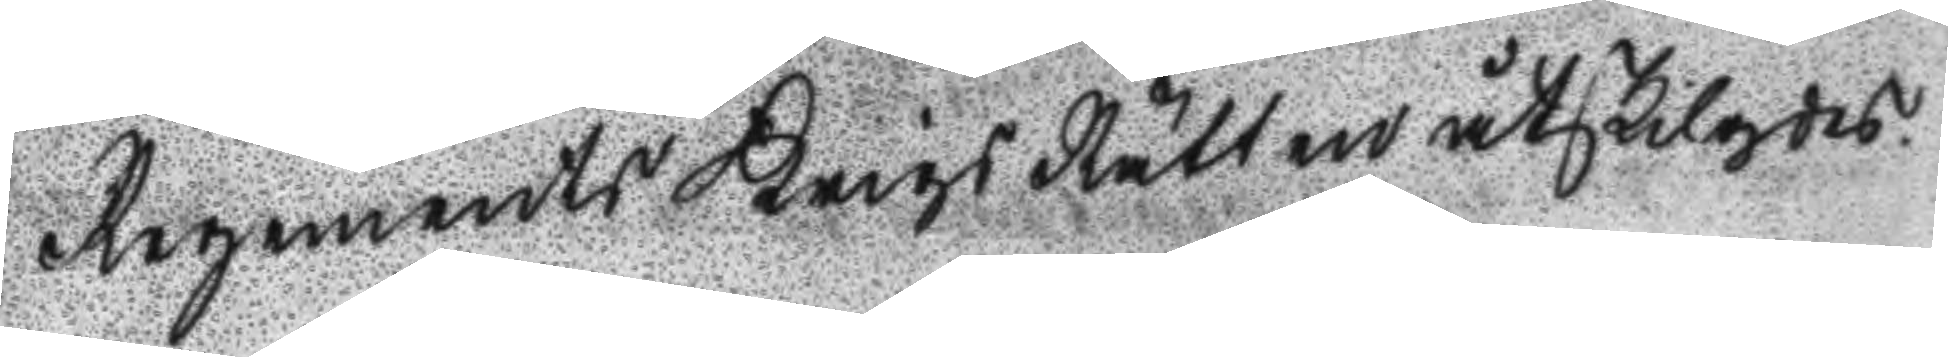Regements Krigs Rätten åtskilgdes.
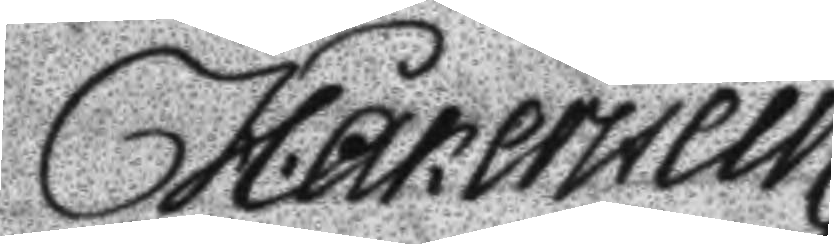H. åkerstein 
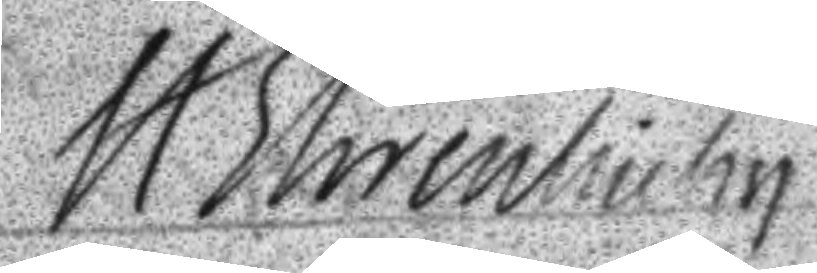H. Ehrenhielm
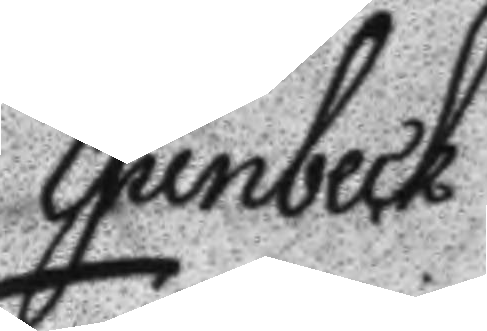E Junbeck
